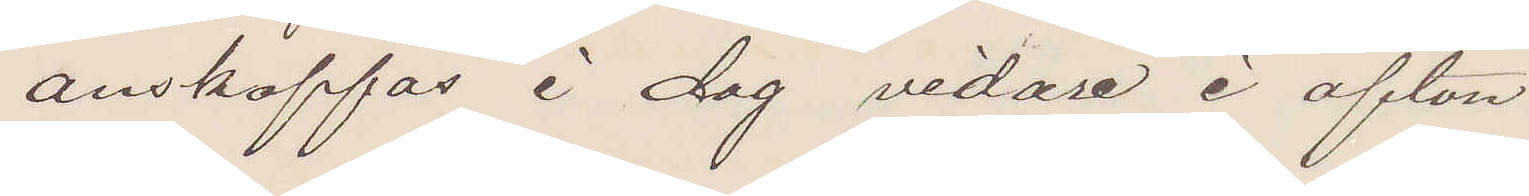anskaffas i dag vidare i afton
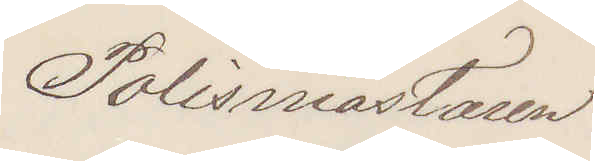Polismästaren
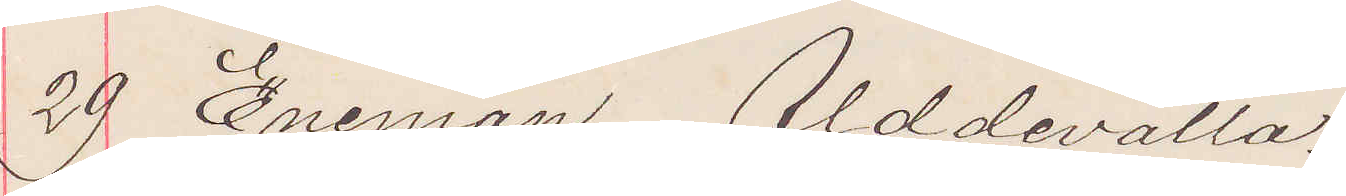29 Eneman Ulddevalla.
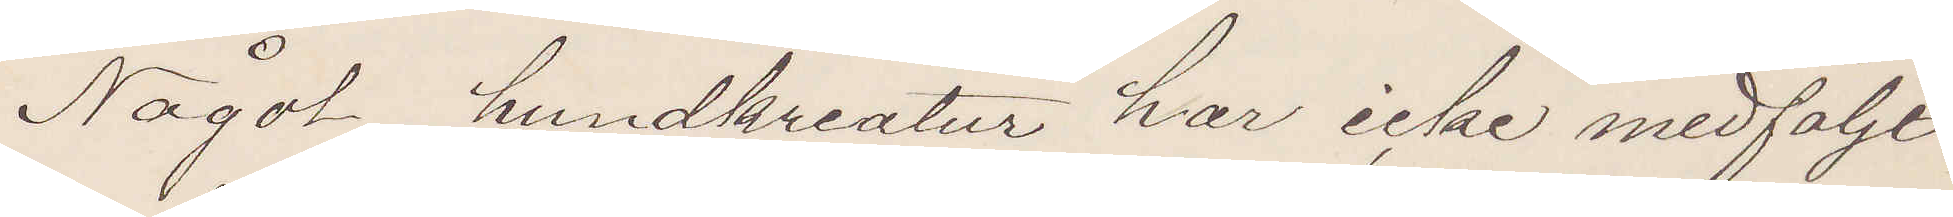Något hundkreatur har icke medföljt
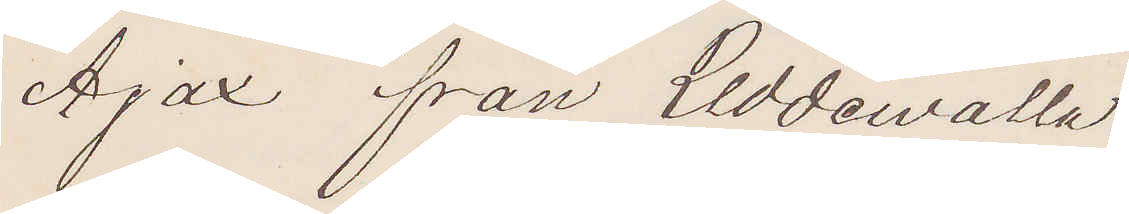Ajax från Uddewalla.
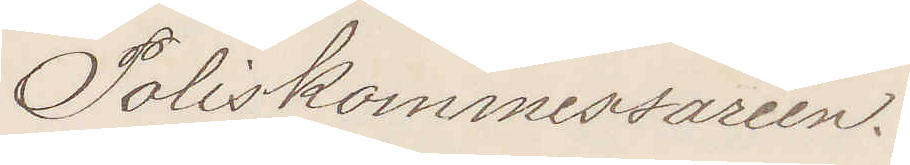Poliskommissarien.
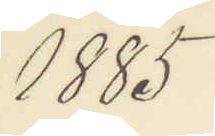1885
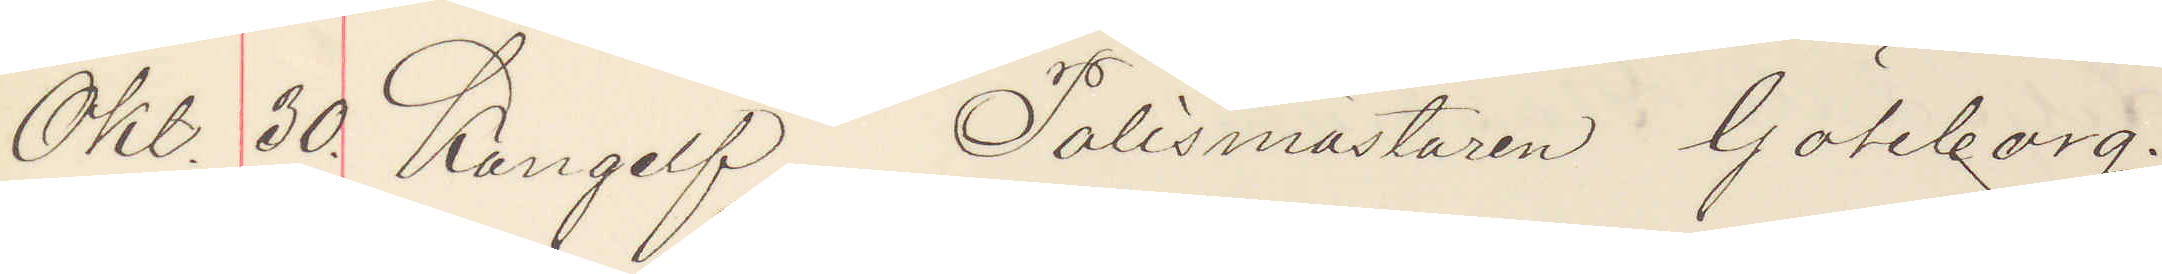Okl. 30 Kungelf Polismästaren Göteborg.
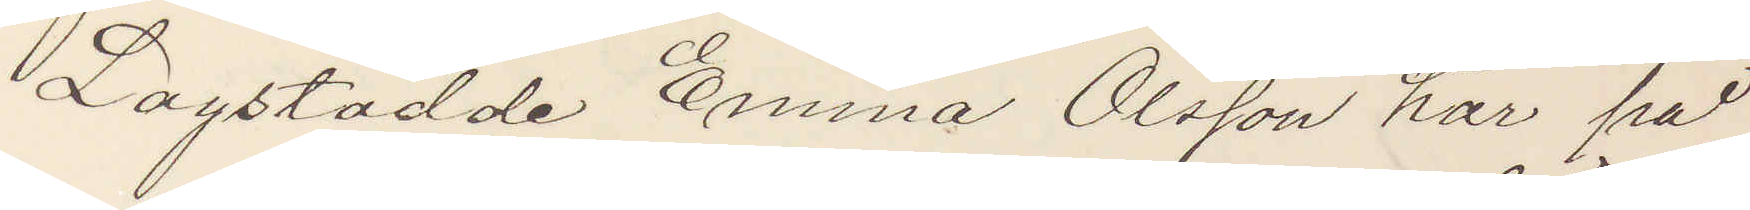Lagstadde Emma Olsson har på
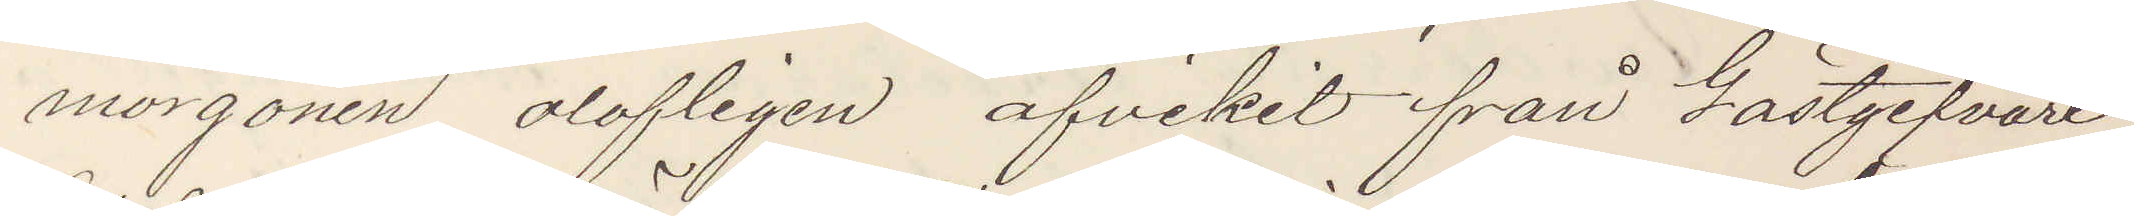morgonen olofligen afvikit från Gästgifvare
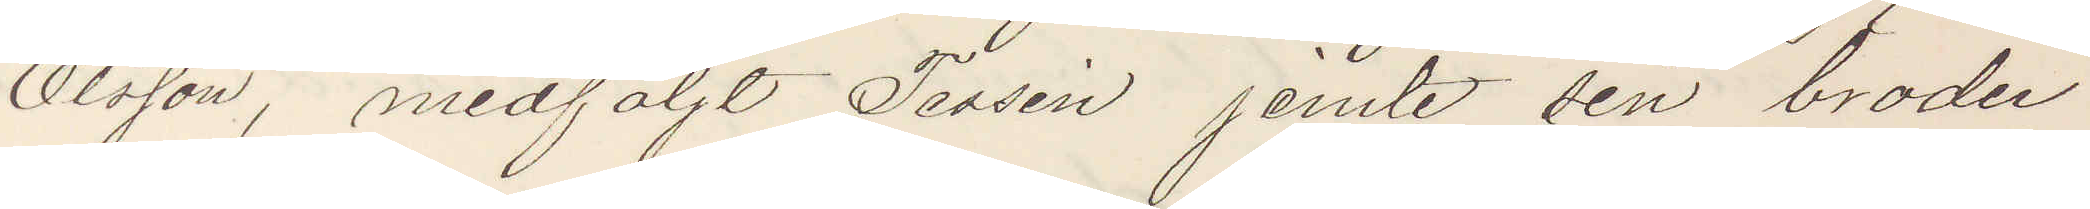Olsson, medföljt Tessin jemte sin broder
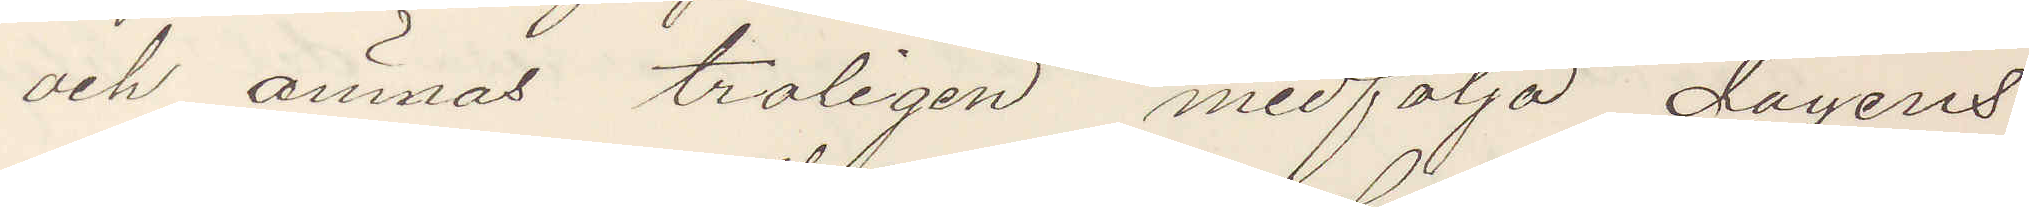och ämnas troligen medfölja dagens
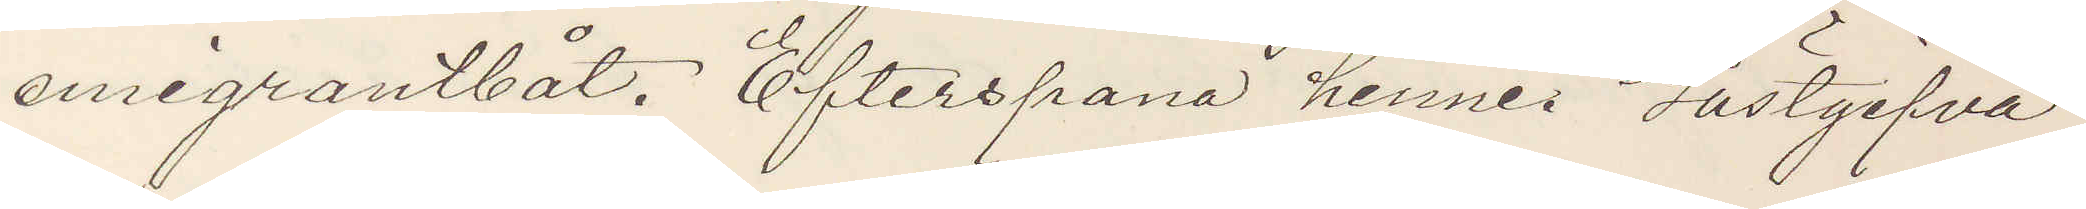emigrantbåt. Efterspana henne. Gästgifva¬
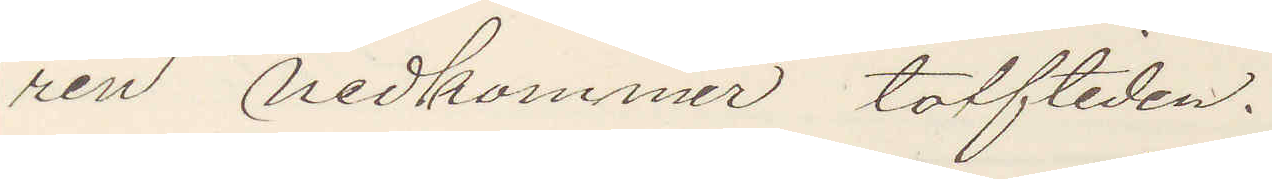ren nedkommer tolftiden.
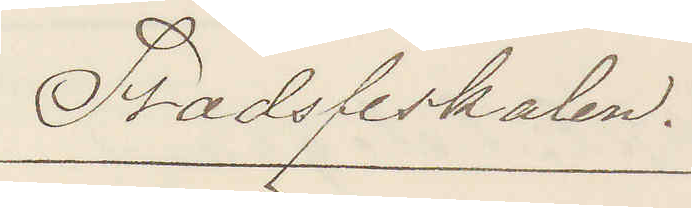Stadsfiskalen.
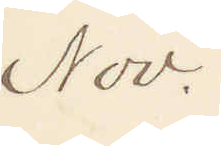Nov.
